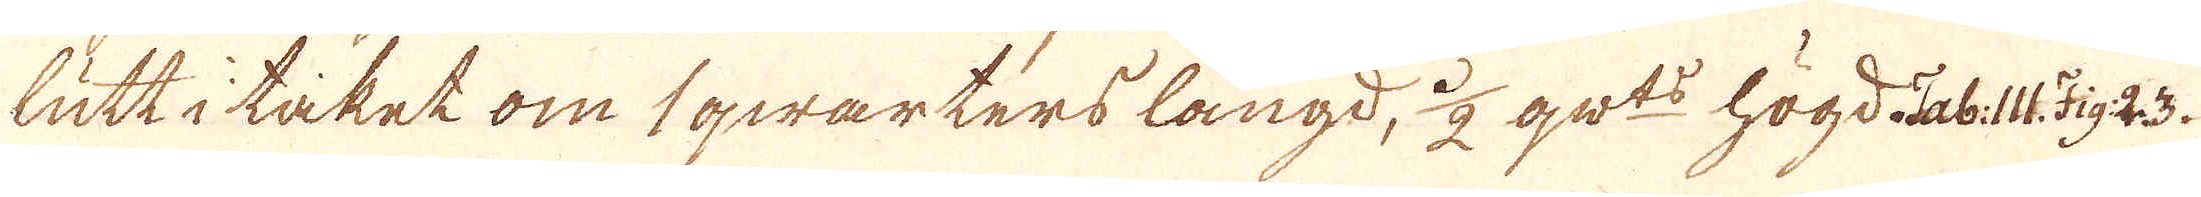lutt i taket om 1 qwarters längd, 1/2 qw:ts högd Tab: III. Fig 23.
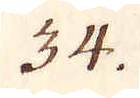34.
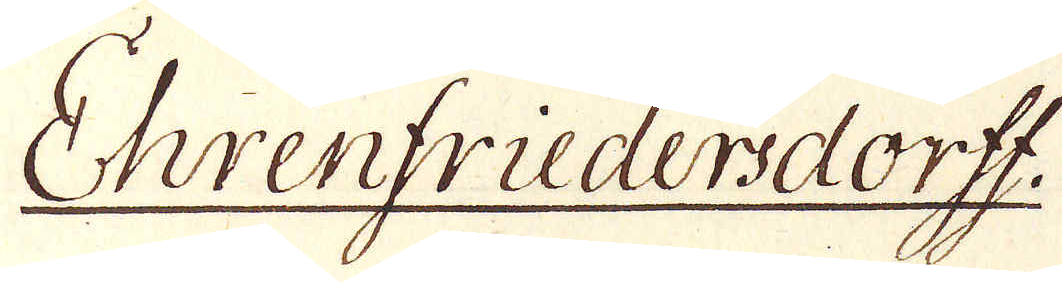Ehrenfriedersdorff
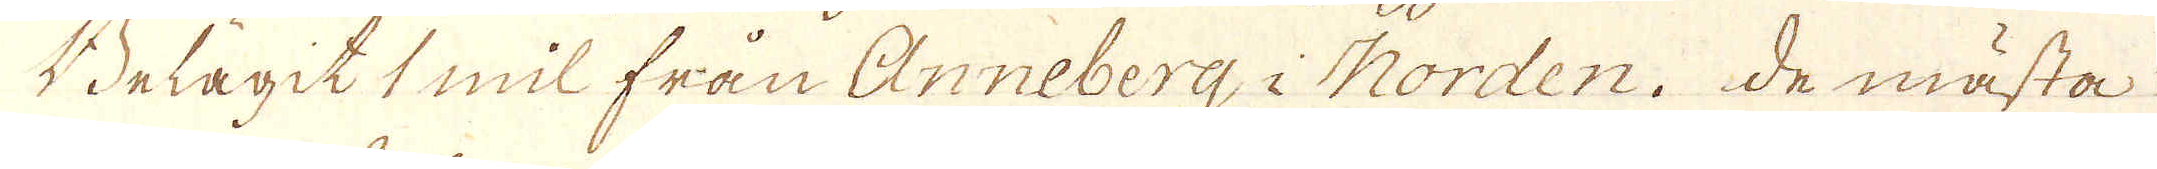Belägit 1 mil från Anneberg i Norden. de mästa
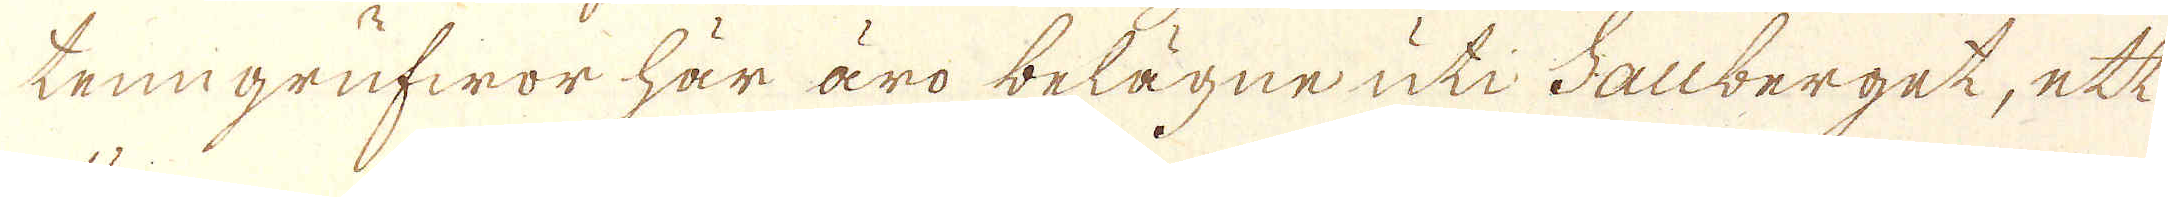tenngrufwor här äro belägne uti Sauberget, ett
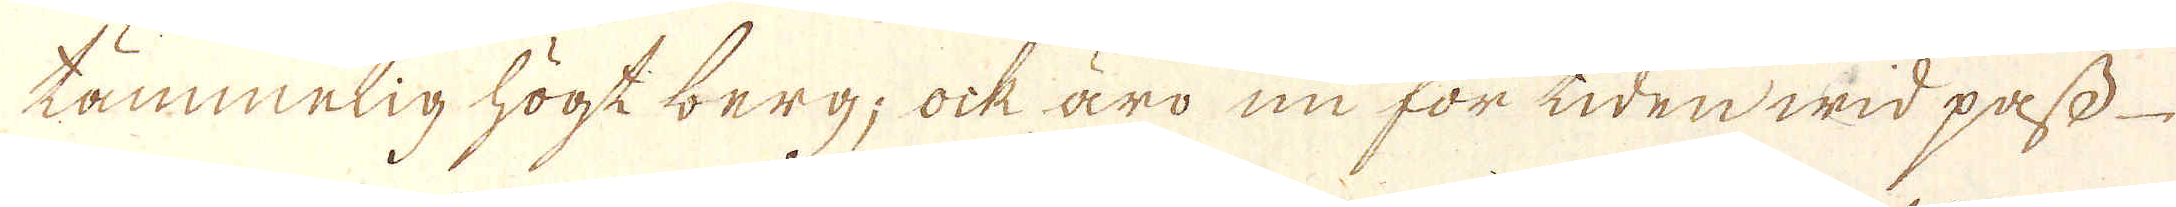tämmelig högt berg; ock äro nu för tiden wid pass
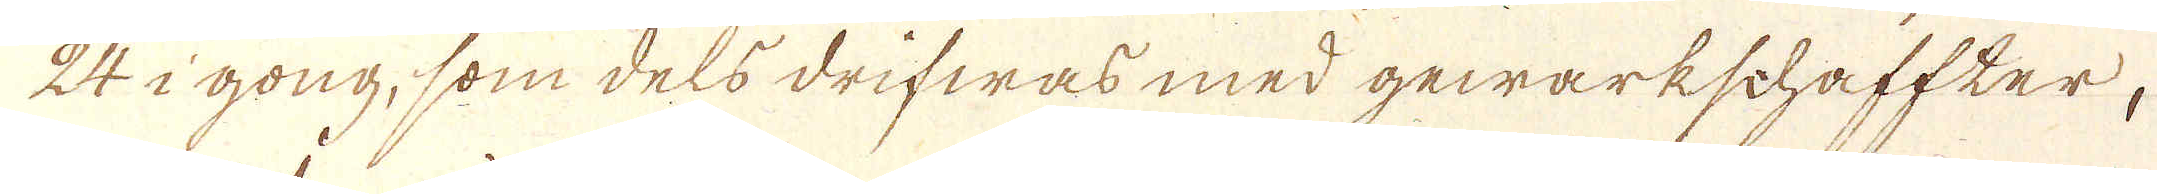24 i gong, som dels drifwas med gewärkschaffter.
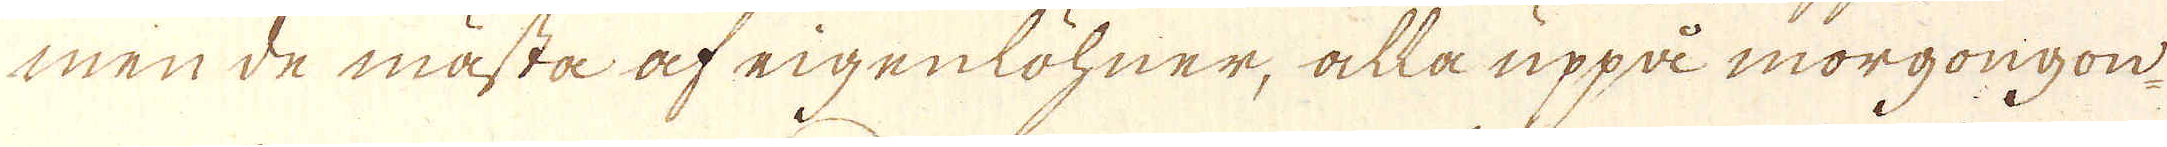men de mästa af eigenlöhner, alla uppå morgongon
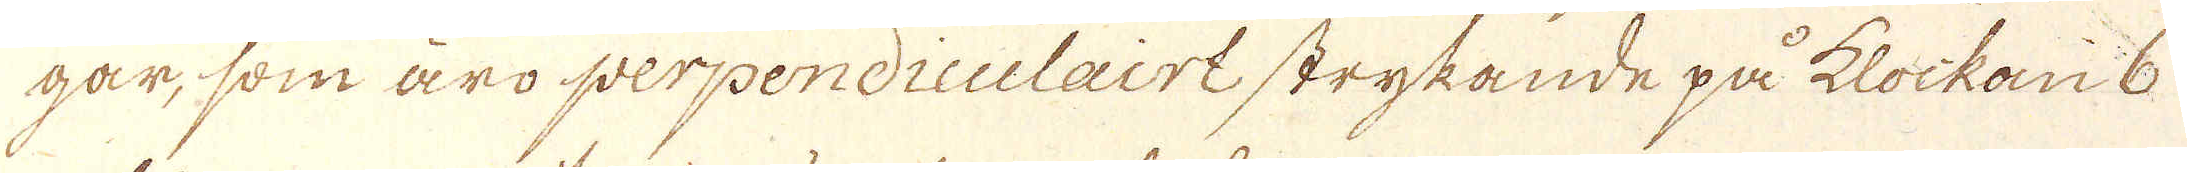går, som äro perpendiculairt strykande på klockan 6
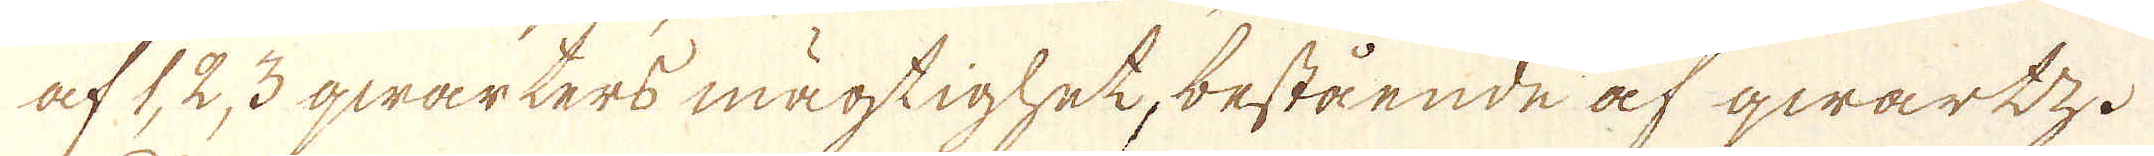af 1, 2, 3 qwarters mägtighet, bestående af qwartz.
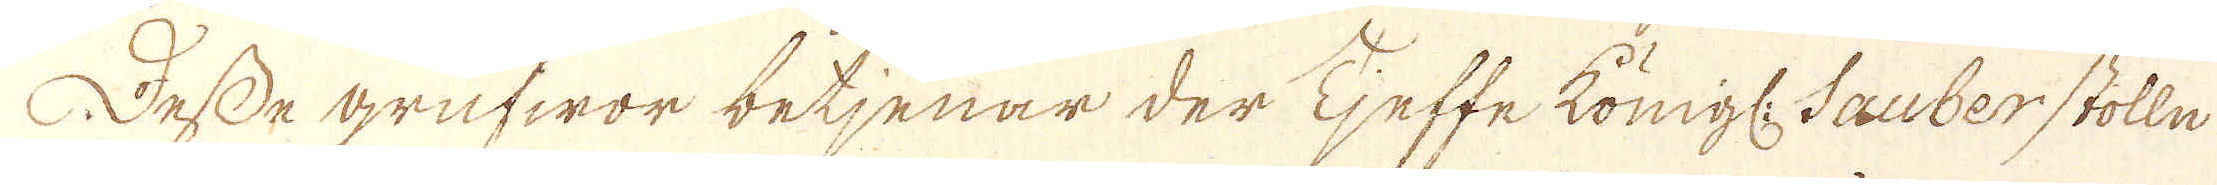Desse grufwor betjenar der Tjeffe Königl: Sauber stolln
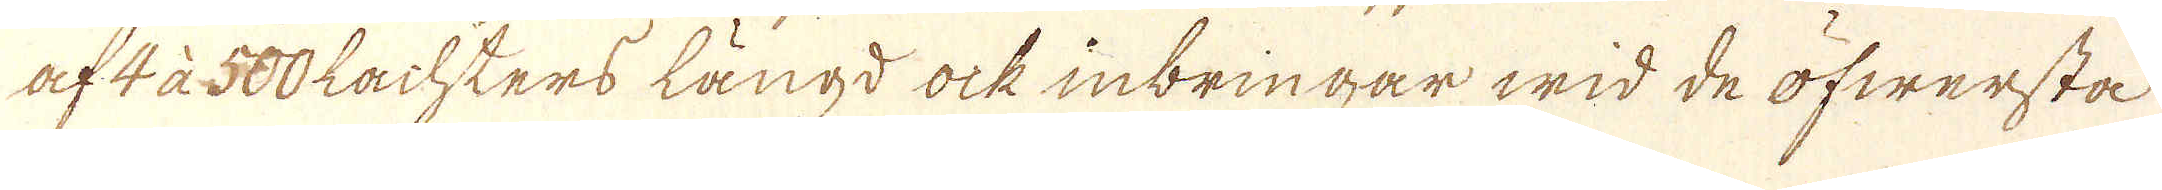af 4 à 500 Lachters längd ock inbringar wid de öfwersta
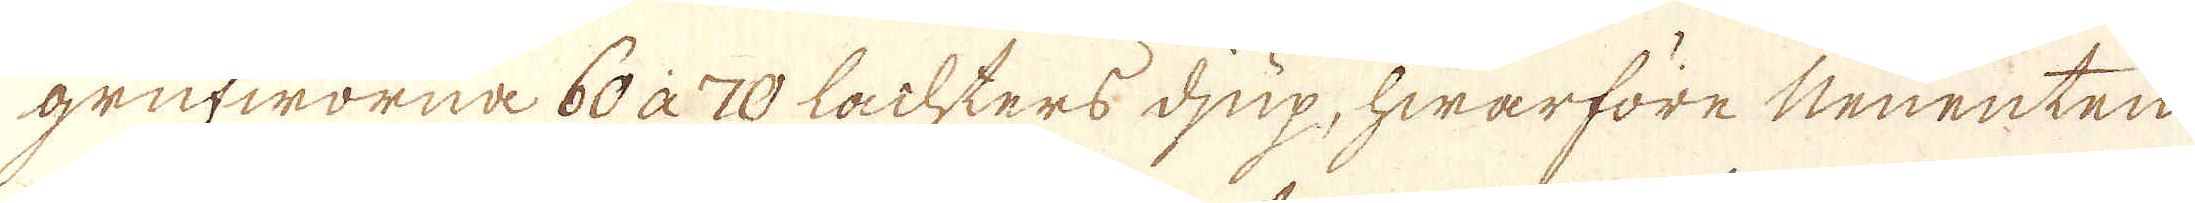grufworna 60 à 70 Lachters djup, hwarföre Neuenten
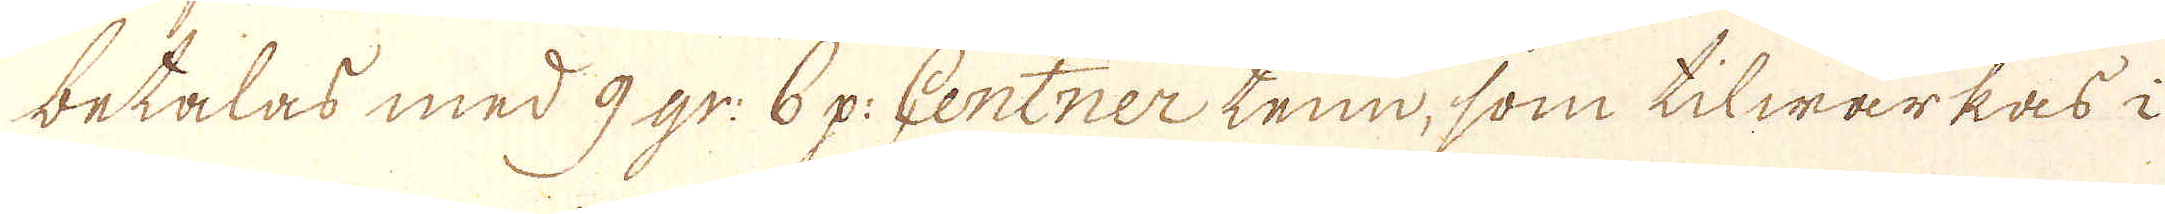betalas med 9 gr: 6 p: Centner tenn, som tilwärkas i
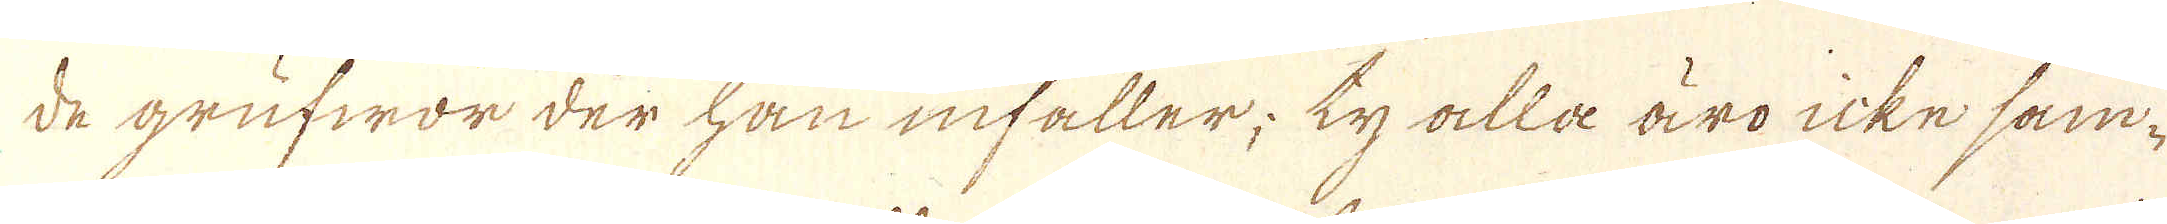de grufwor der han infaller; ty alla äro icke sam-
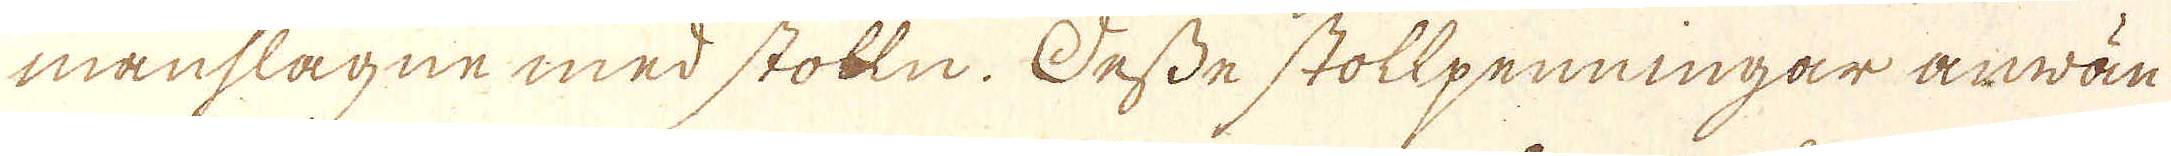manslagne med stolln. Desse stollpenningar använ-
